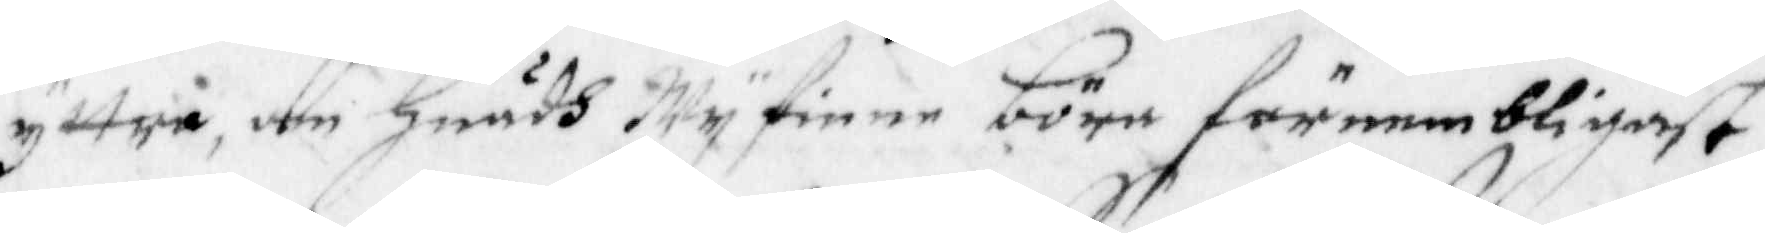yttra, om Huadh Wy finne böra förnembligast
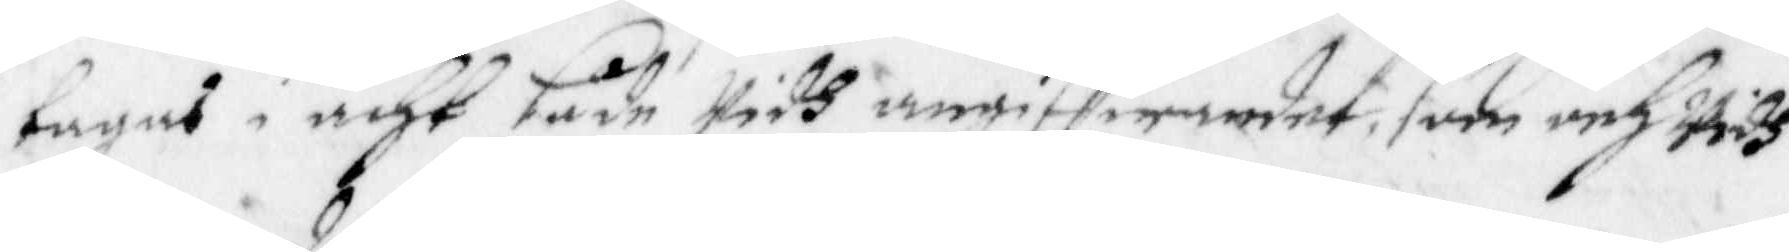tagas i acht både Widh angiffwandet, som och Widh
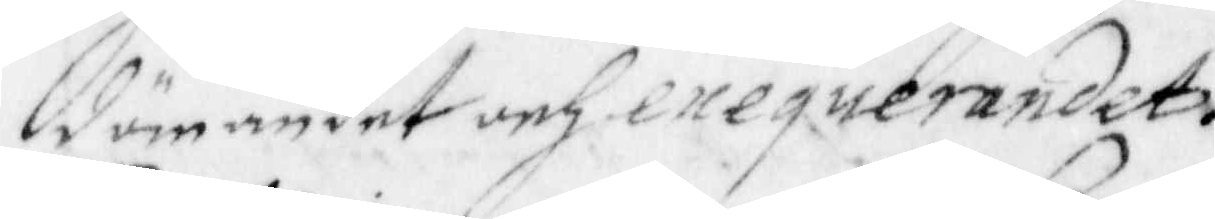dömandet och exequerandet.
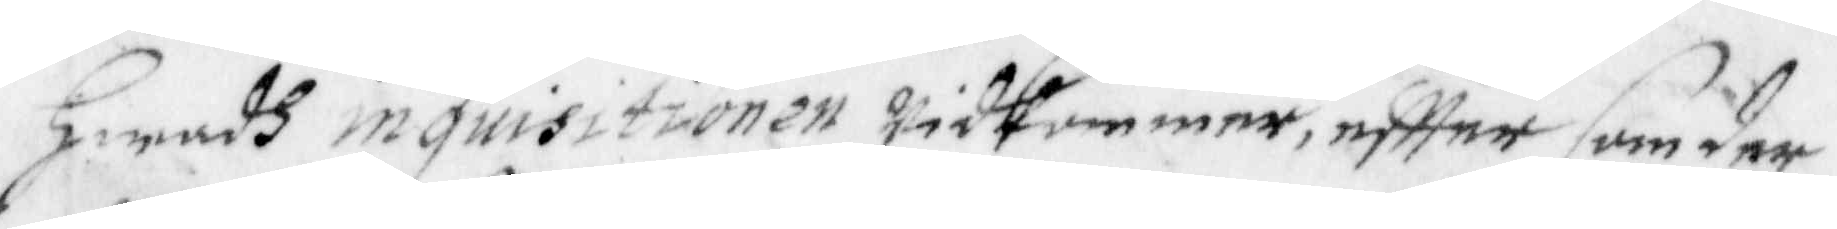Hwadh inquisitionen Widkommer, effter som der
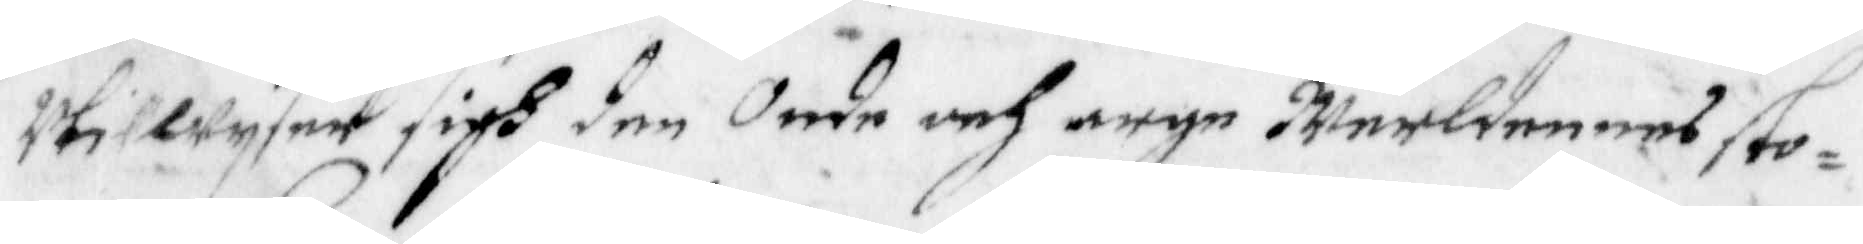Utillwyser sigh den Onde och arge Werldenens sto¬
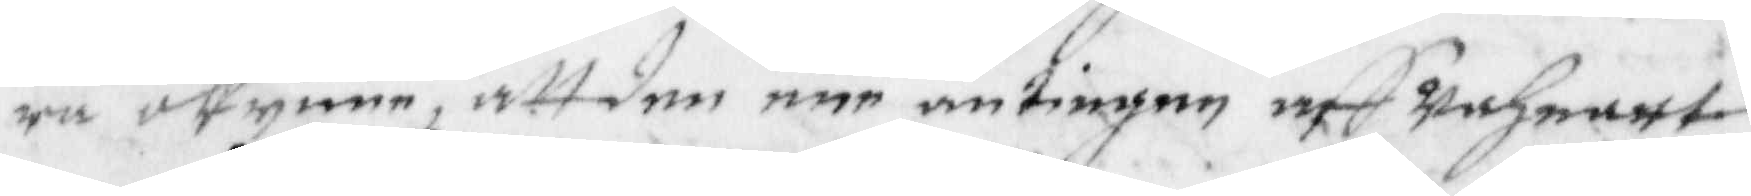ra okynne, att den ene antingen aff Wahnart 
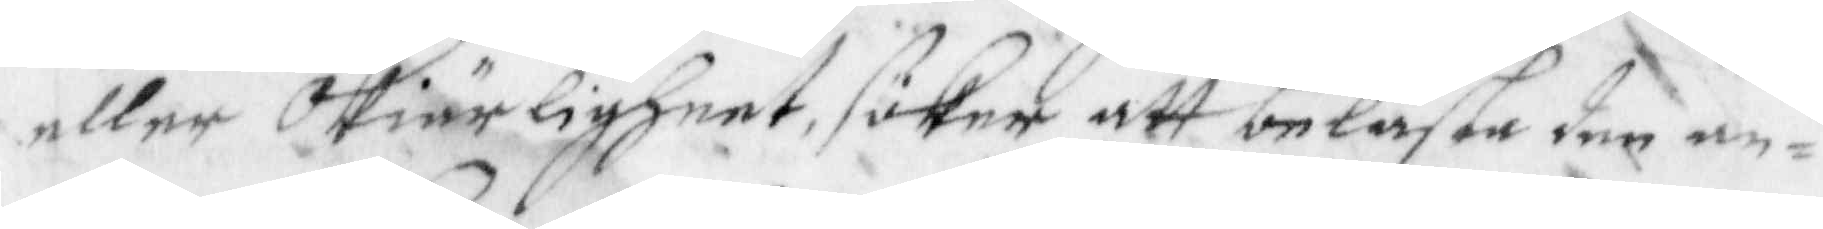eller Okiärligheet, söker att belasta den an¬
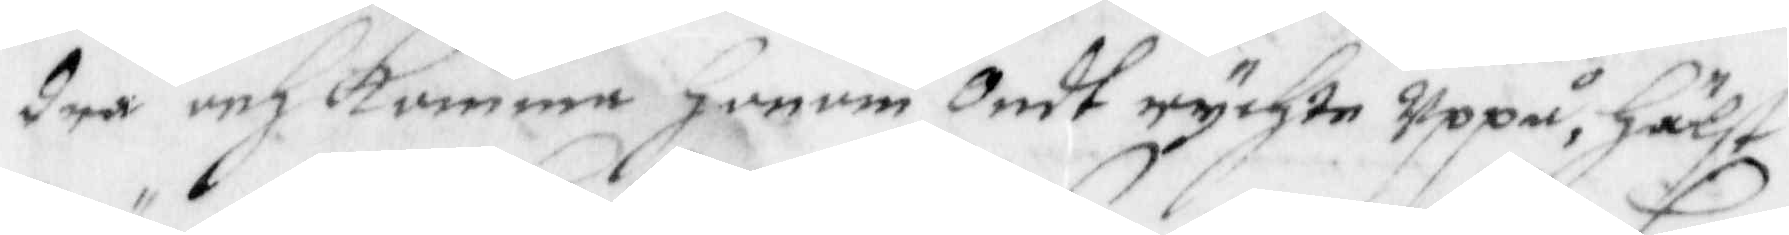dra och komma Honom Ondt rychte Uppå, Hälst
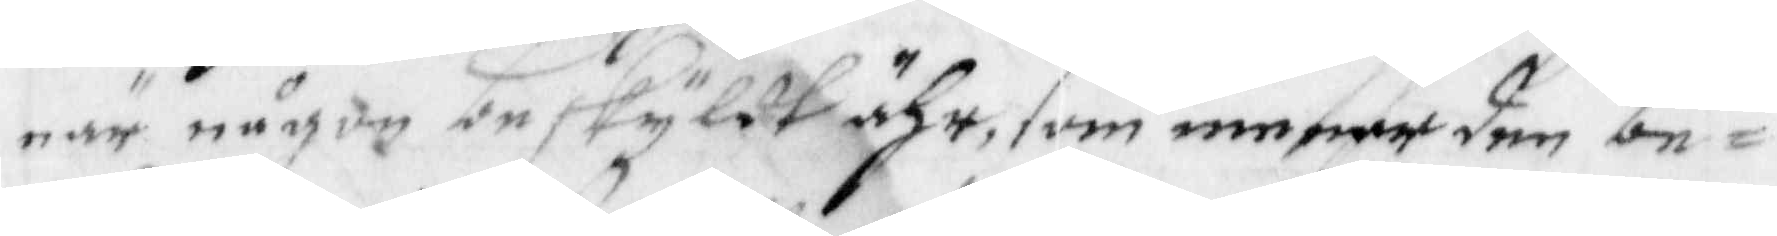när någon beskyldt ähr, som menar den be¬
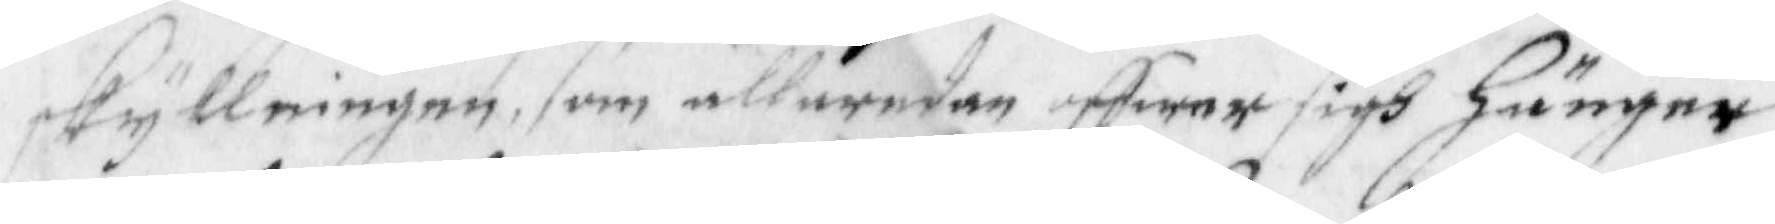skyllningen, som alleredan offwer sigh hänger
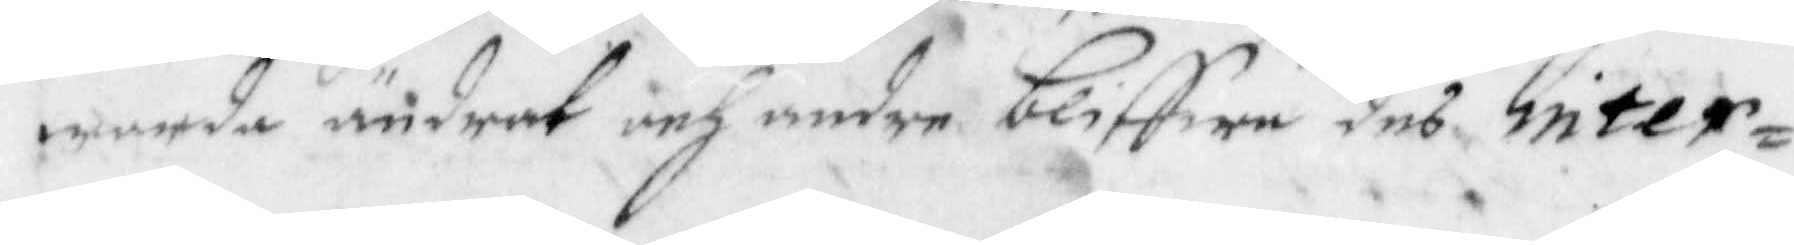warda ändrat och andre bliffwe deß inter¬
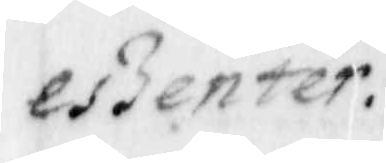eszenter:
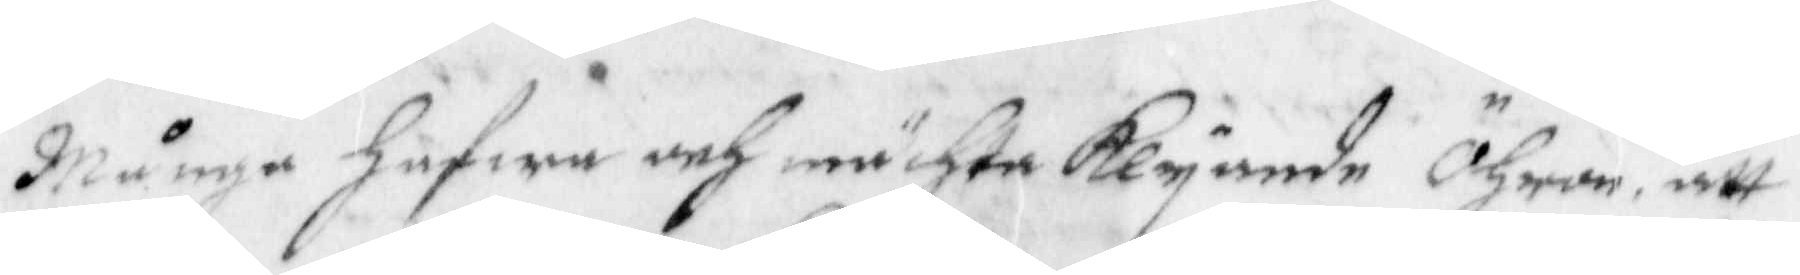Många hafwa och mächta Klyande Öhron, att 
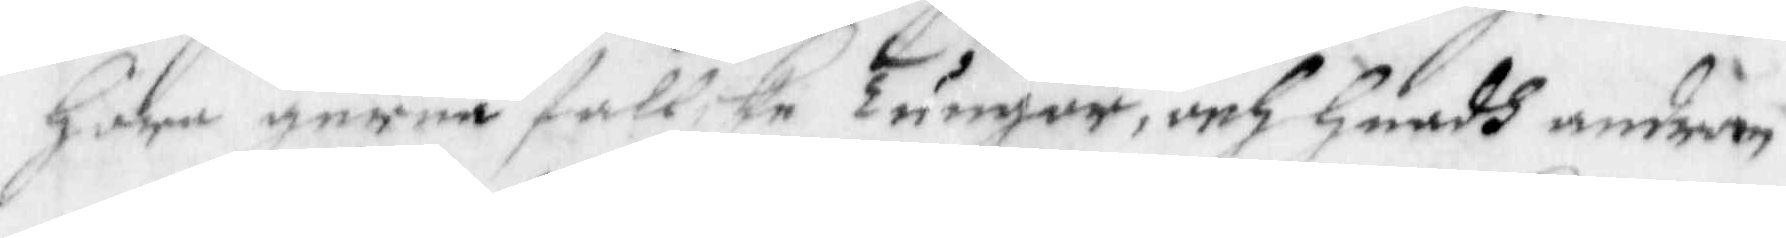Höra gerna fallske Tungor, och Huadh androm
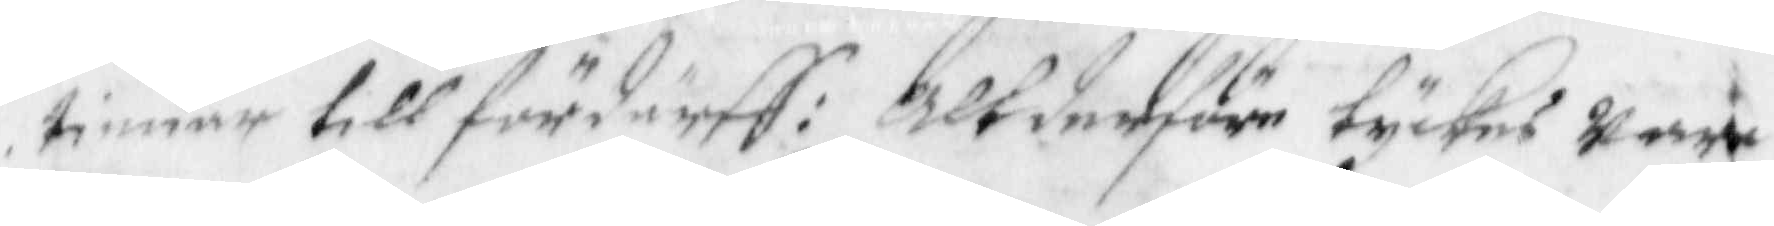timar till fördärff: Altderföre tyckes Wara
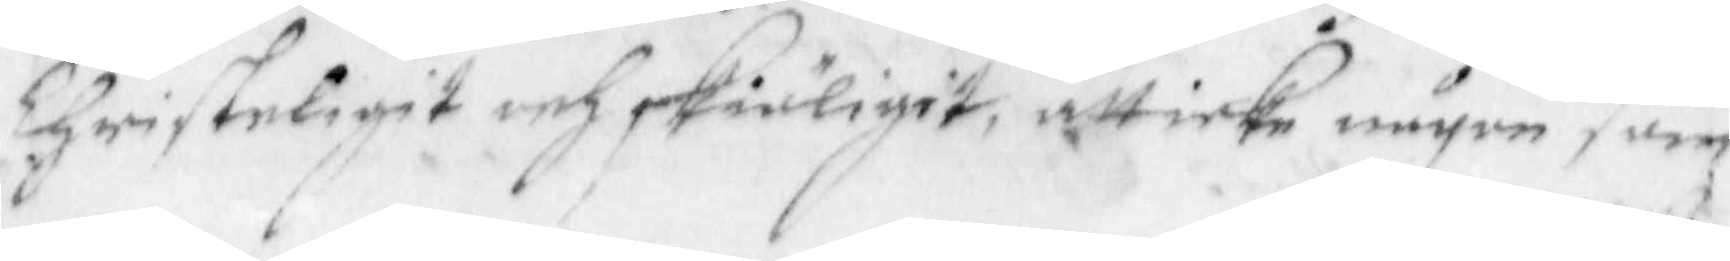Christeligit och skiäligit, att icke någon som
